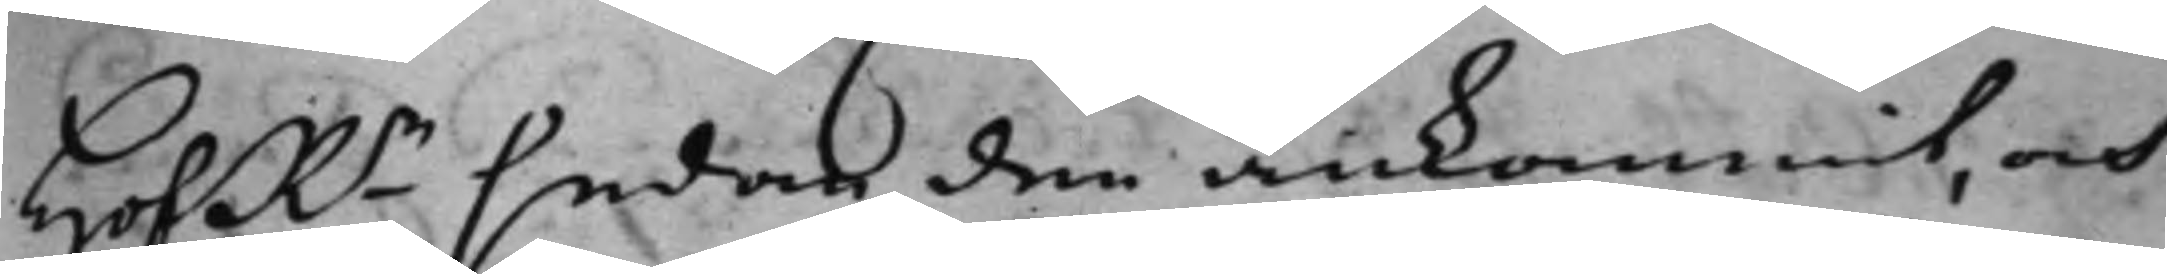HofRn sedan den ankommit, och
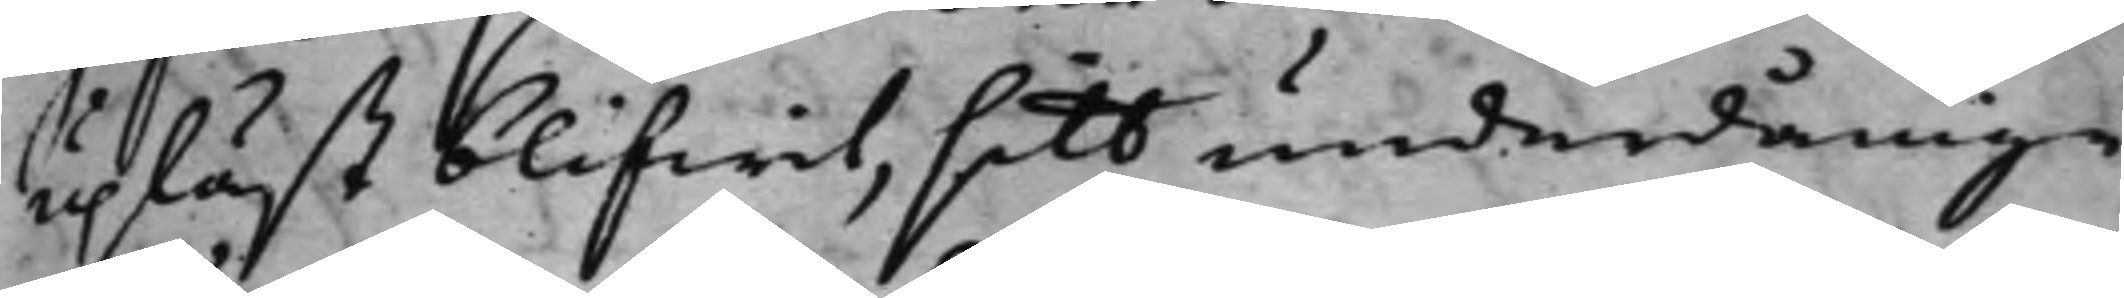upläst blifwit, sitt underdånige
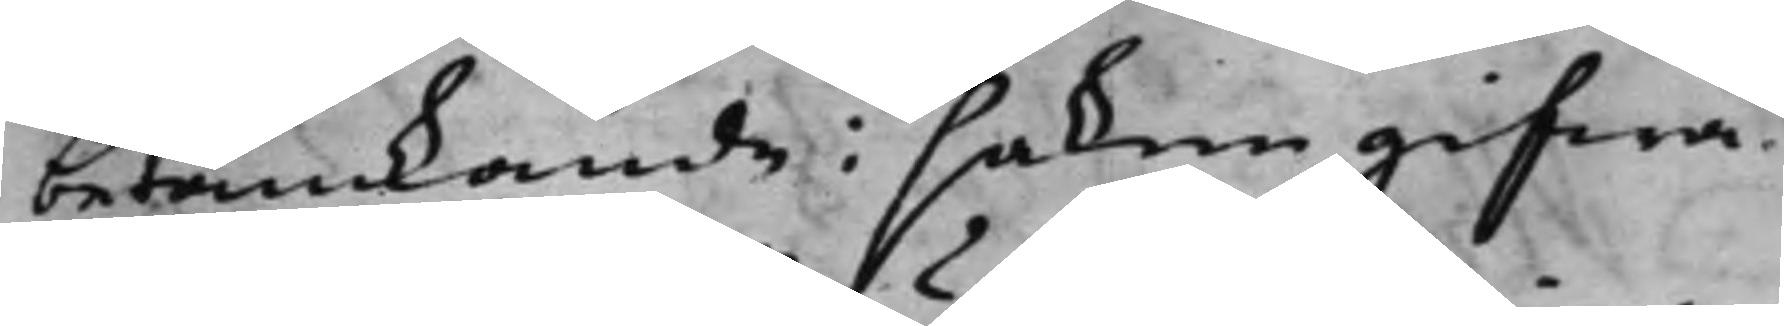betänkande i saken gifwa.
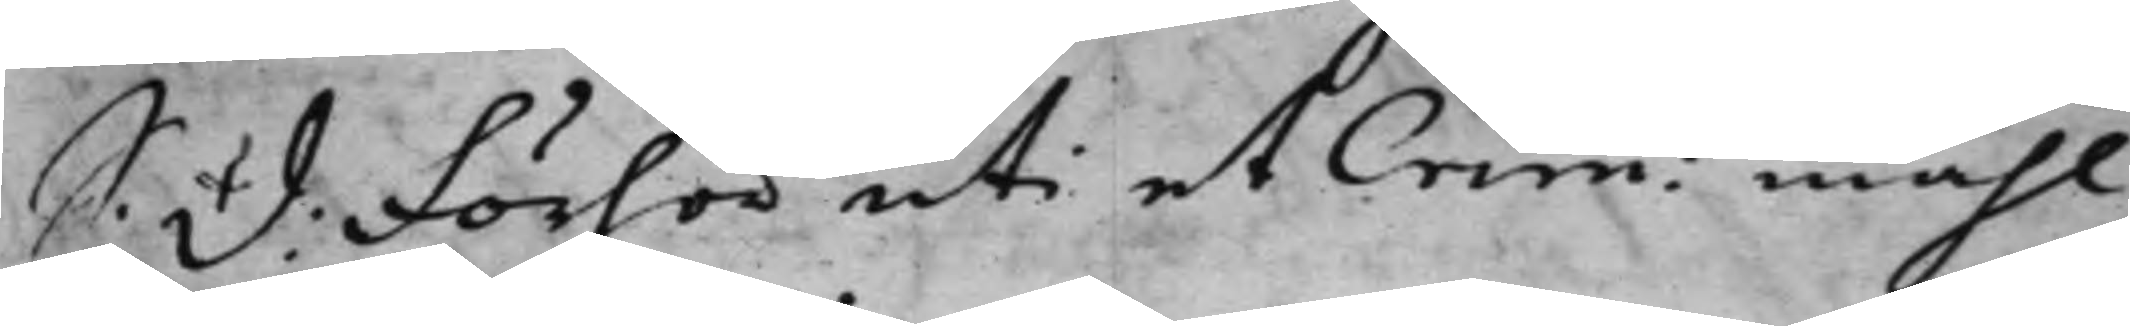S: D: Förhör uti et Crim: måhl
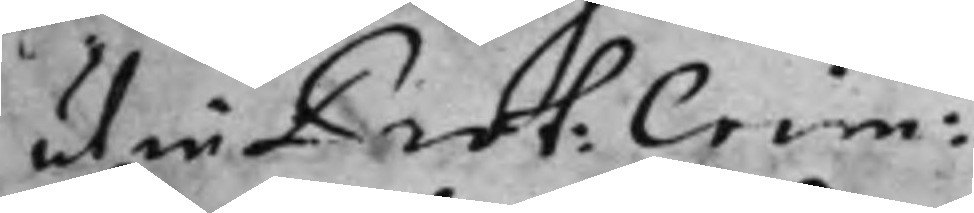ut in Prot: Crim:
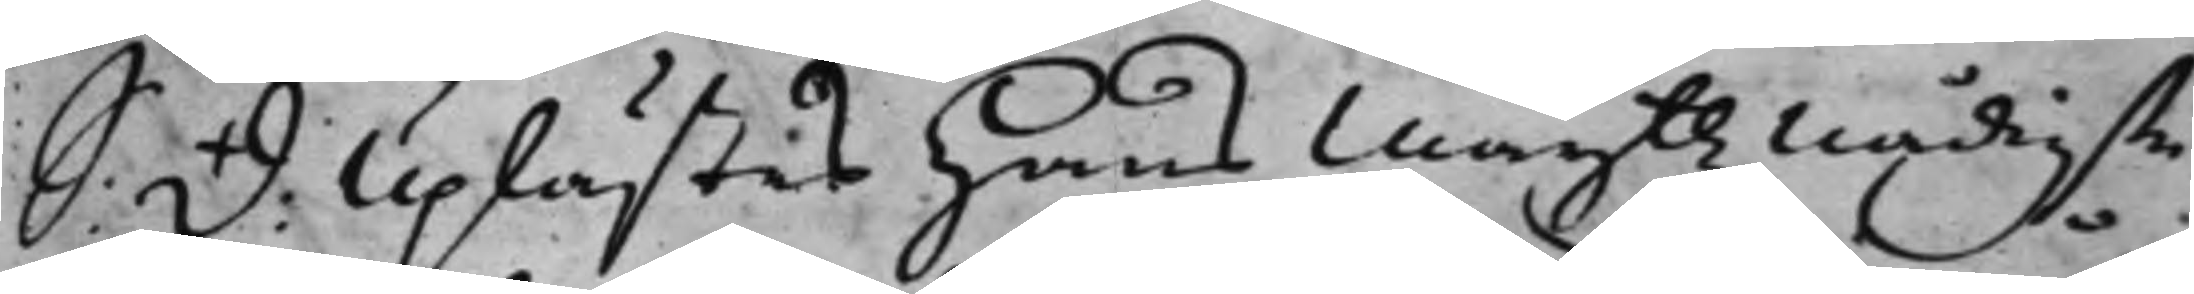S: D: Uplästes Hans Maijttz nådigste
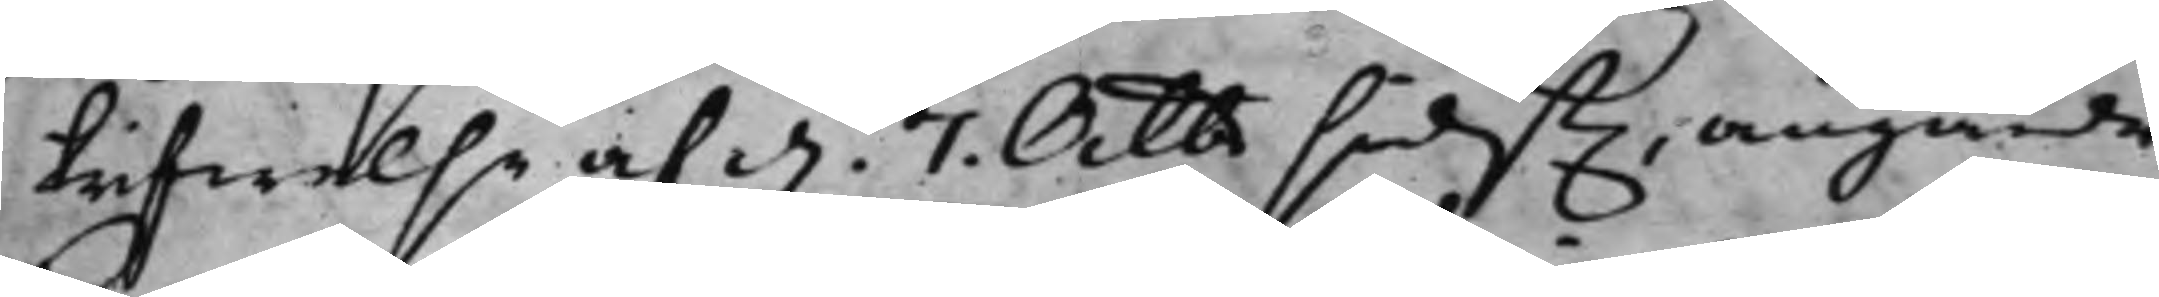skrifwelse af d. 7. Octbr sidst., angånde
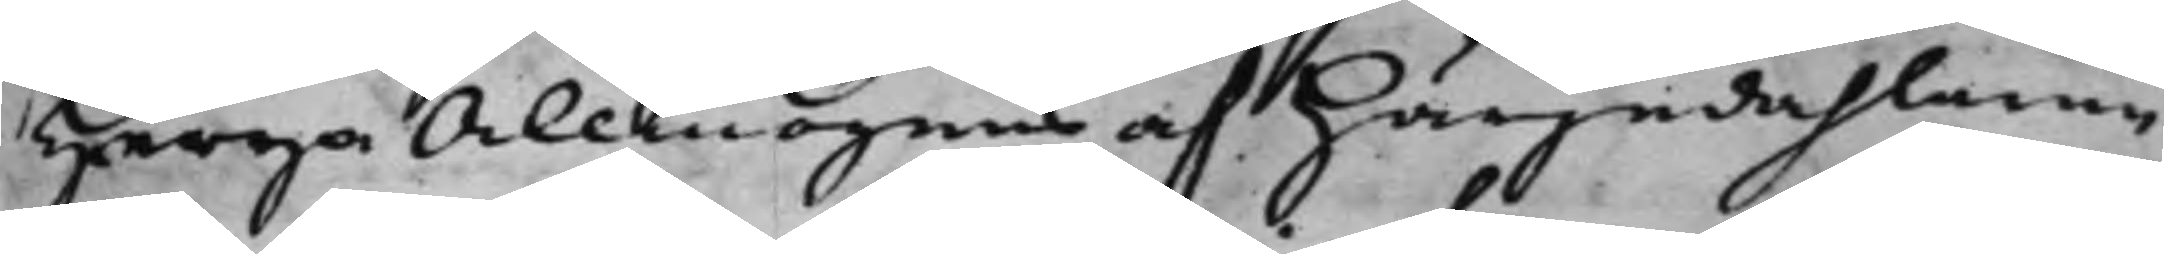Herga Allmogens af Härjedahlarne
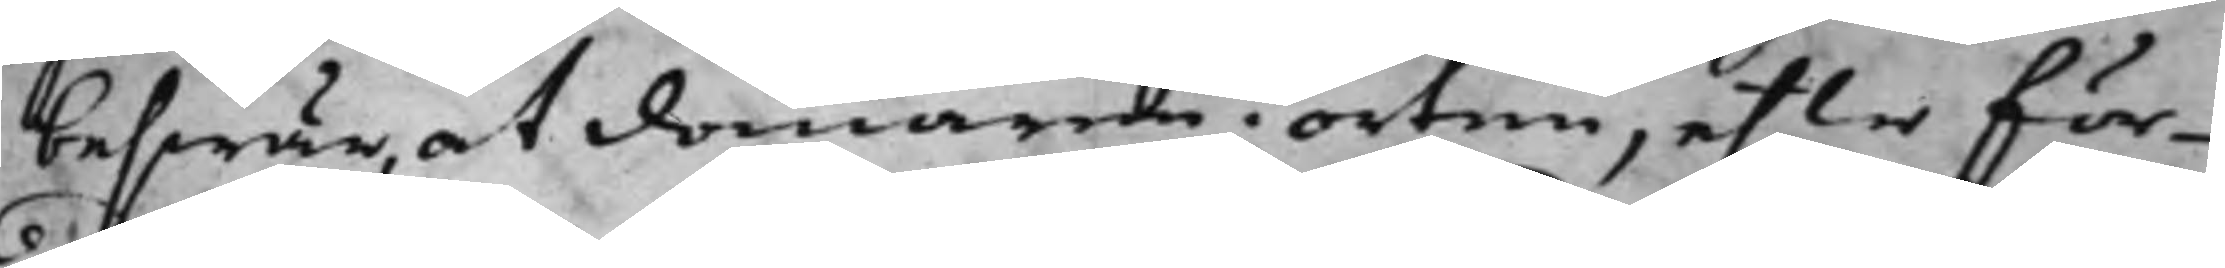beswär, at domaren i orten, efter för¬
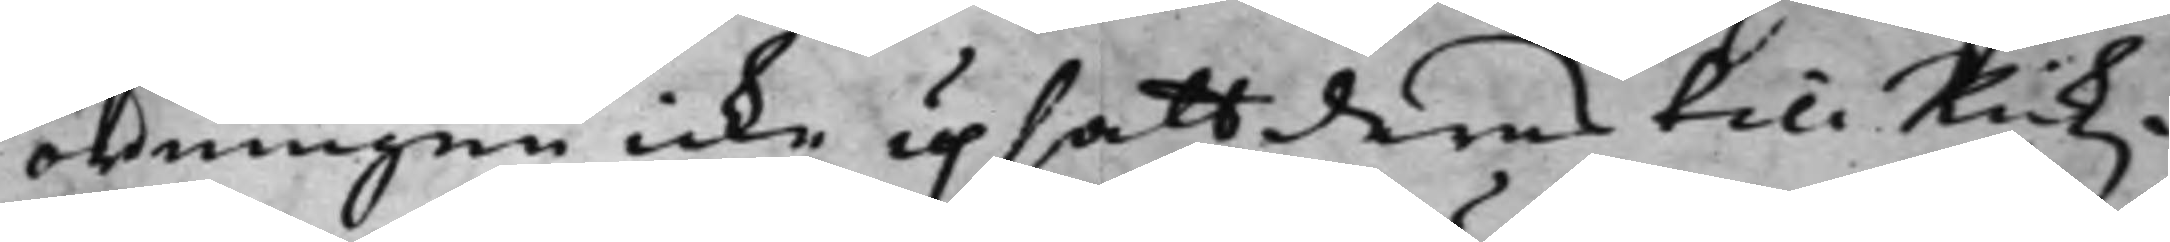ordningen icke upsatt deras till Rikz¬
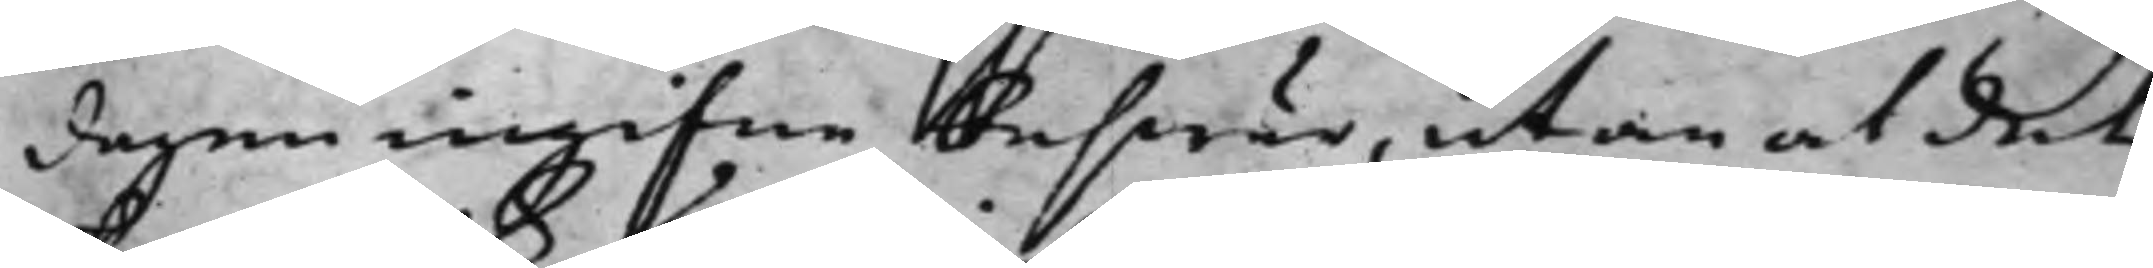dagen ingifne beswär, utan at det
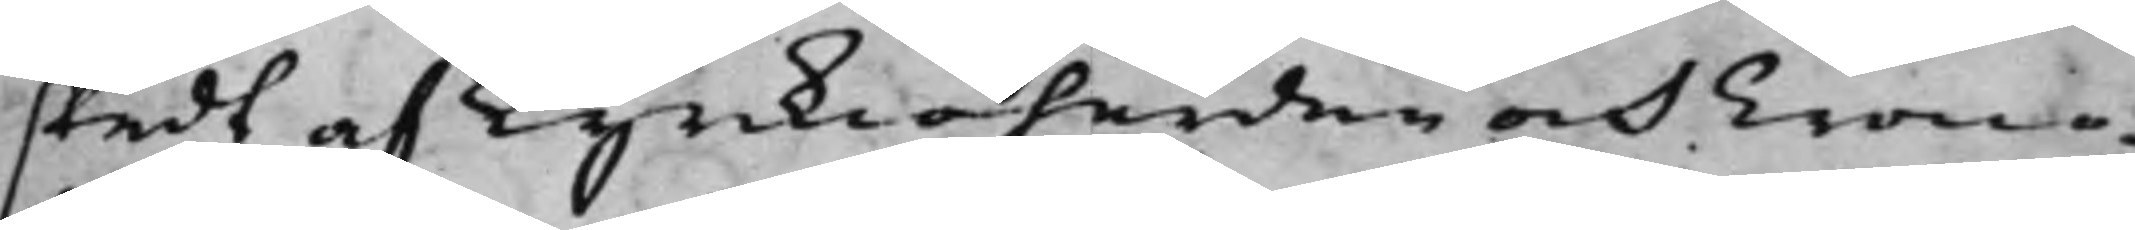skedt af Kyrkioherden och Crono¬
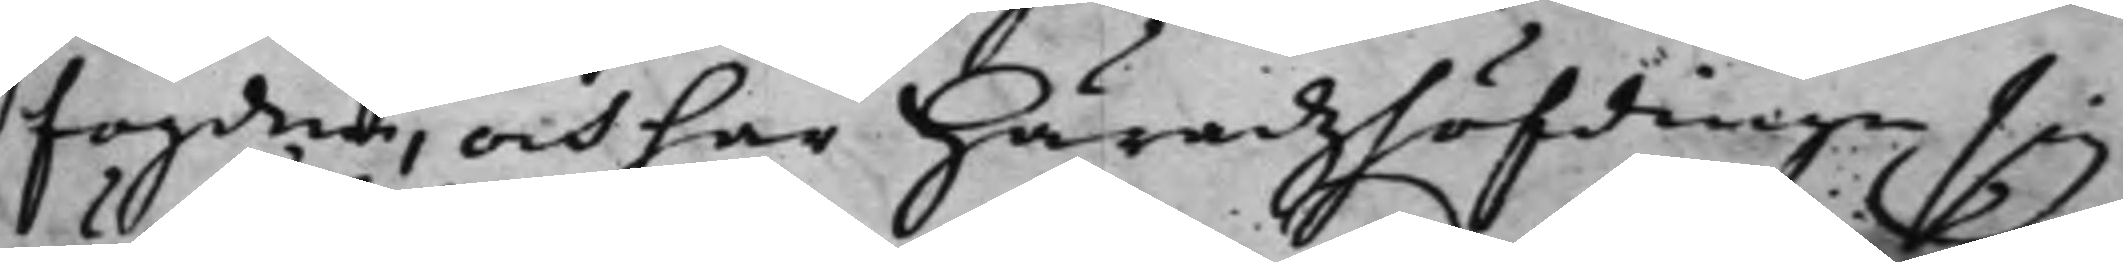fogden, och har Häradzhöfdingen sig
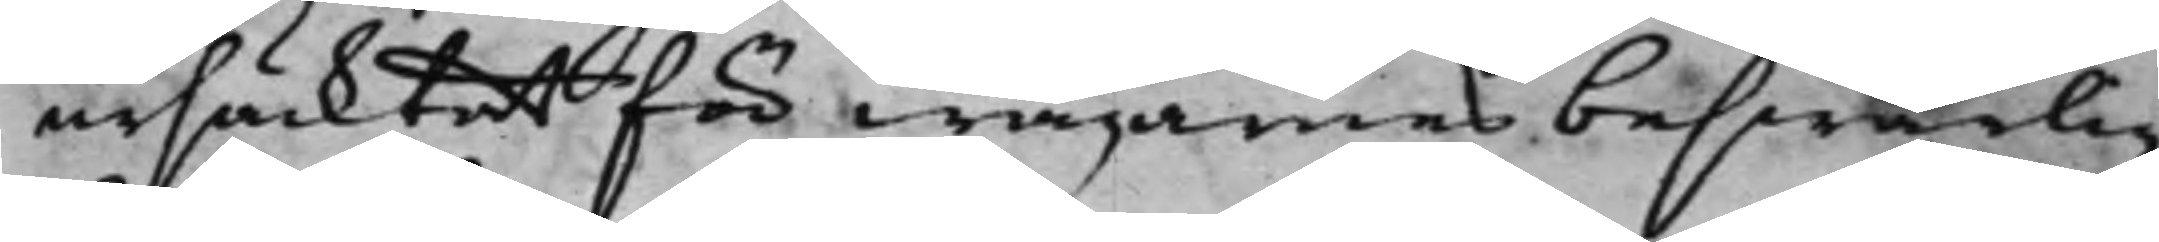ursäcktat för wägarnes beswärlig¬
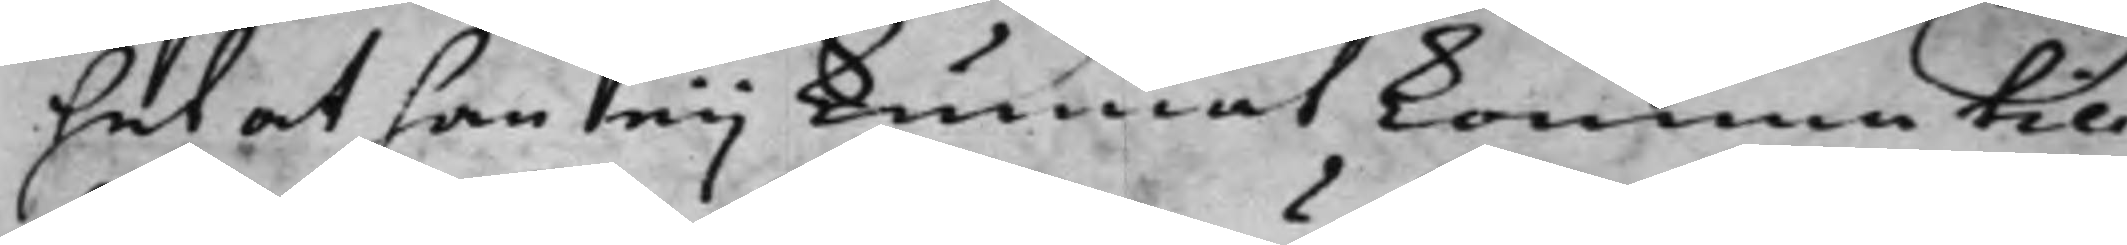het at han eij kunnat komma till¬
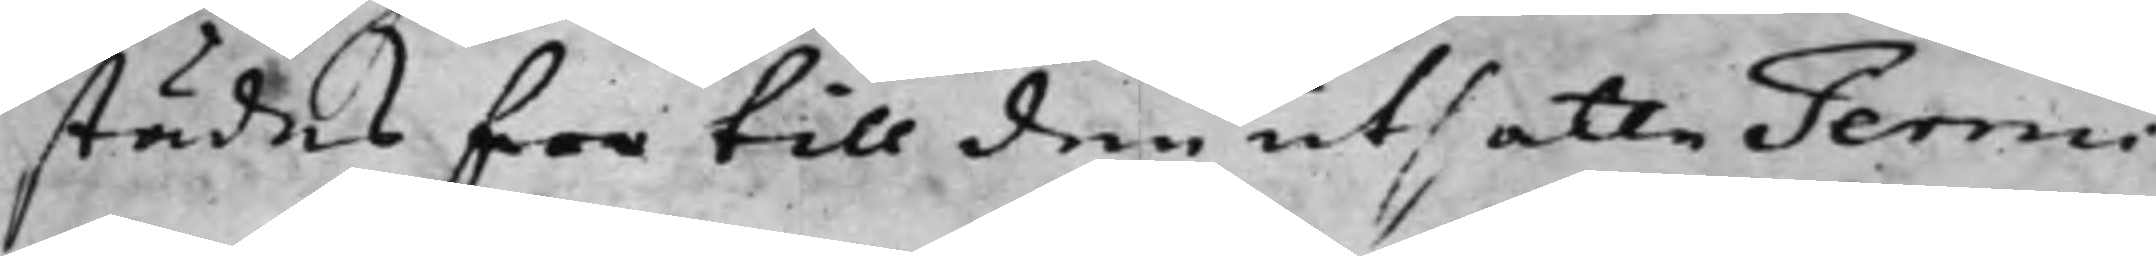städes för till den utsatte Termi¬
